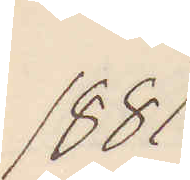1881
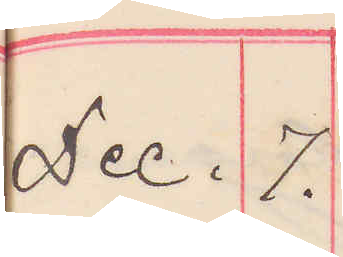Dec. 7.
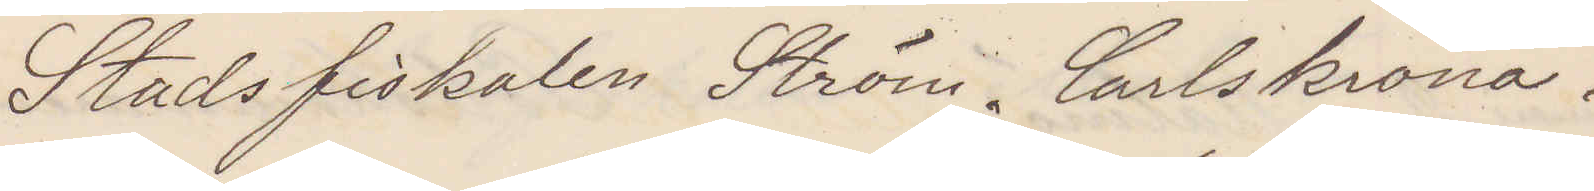Stadsfiskalen Ström. Carlskrona.
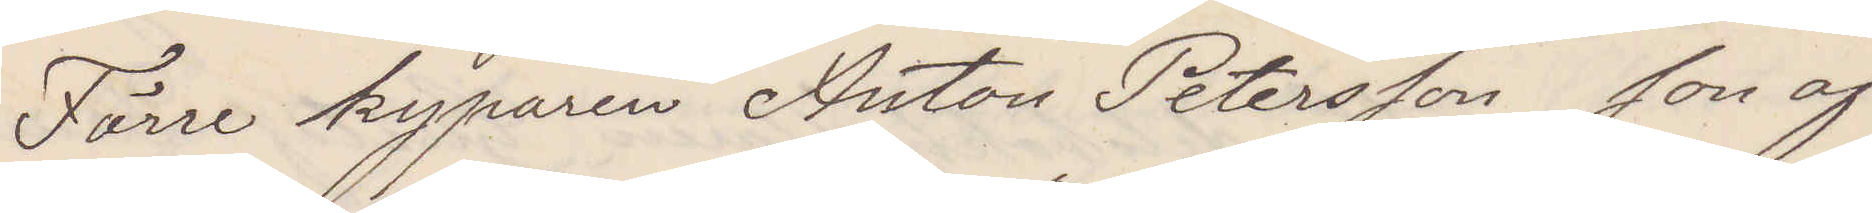Förre kyparen Anton Petersson son af
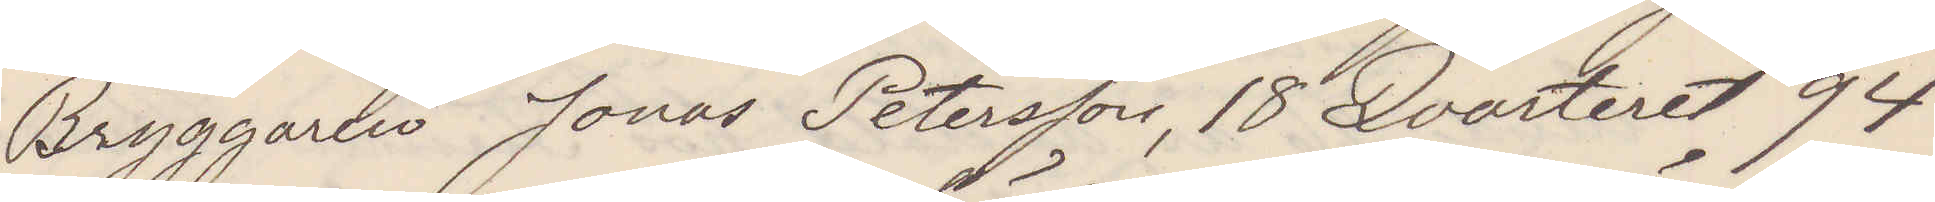Bryggaren Jonas Petersson, 18 Qvarteret 94
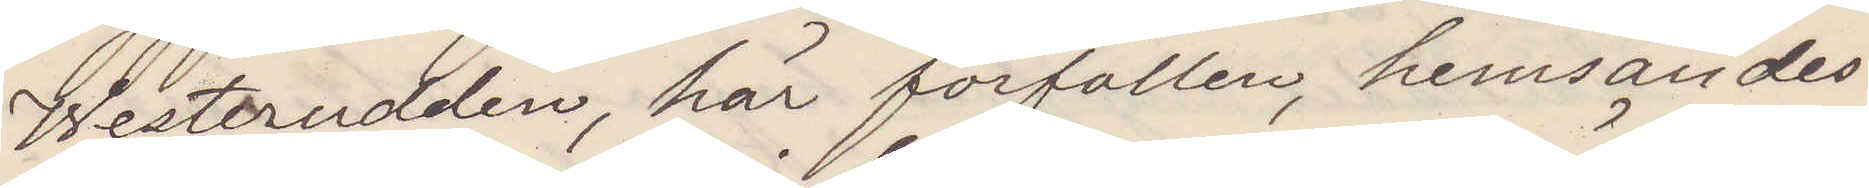Westerudden, här förfallen, hemsändes
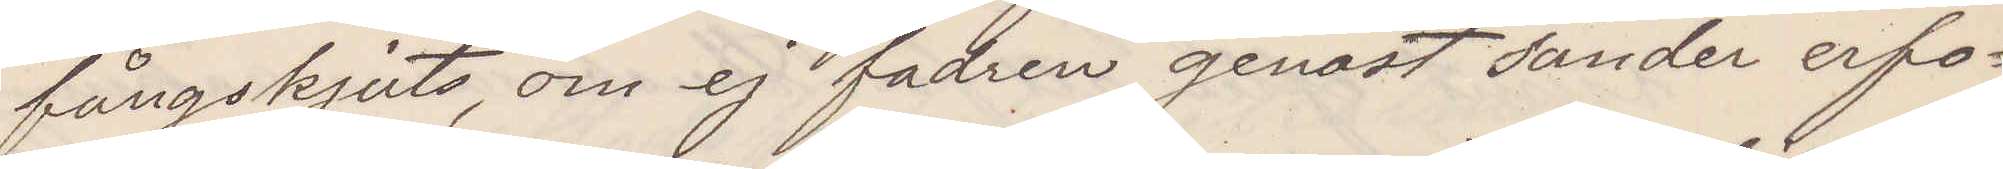fångskjuts, om ej fadren genast sänder erfo¬
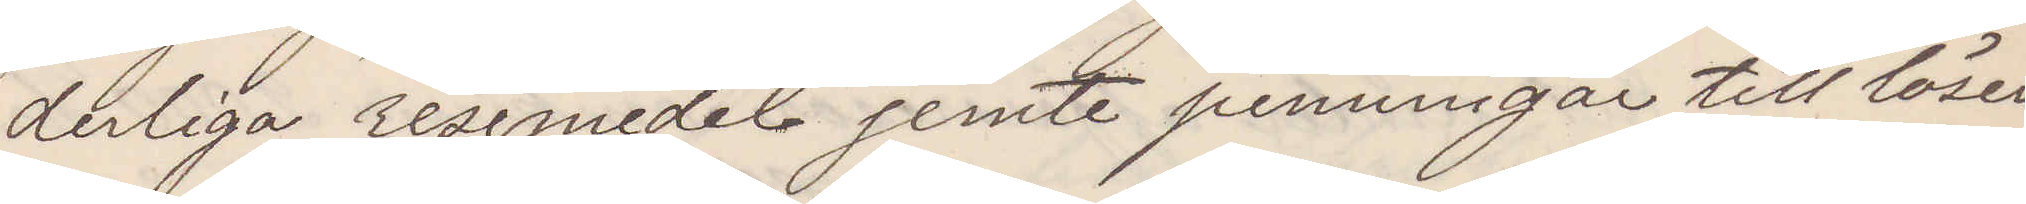derliga resemedel jemte penningar till lösen
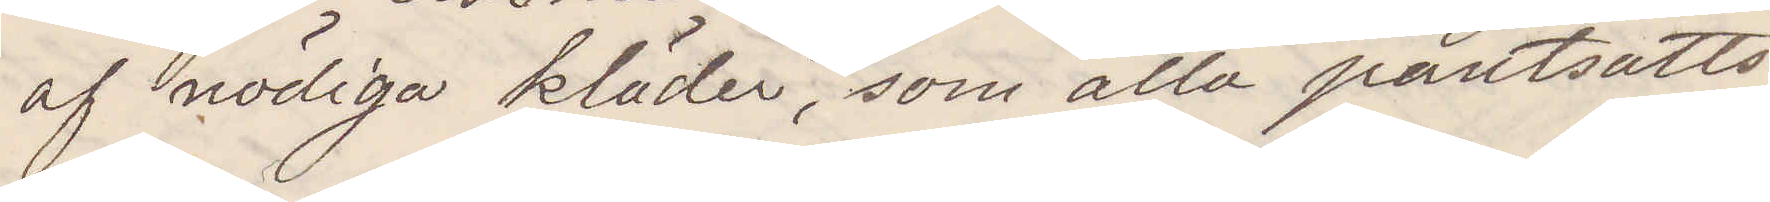af nödiga kläder, som alla pantsatts
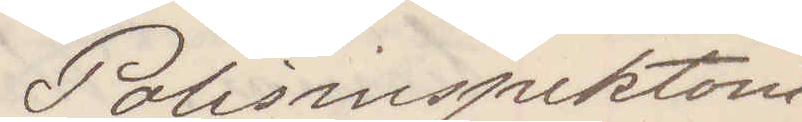Polisinspektorn
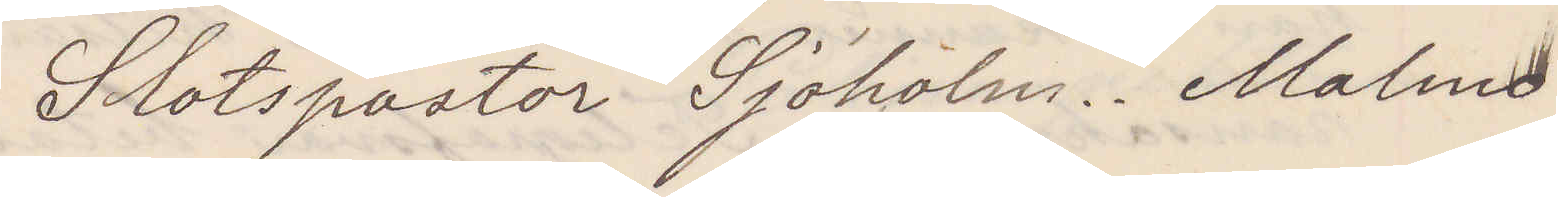Slotspastor Sjöholm. Malmö.
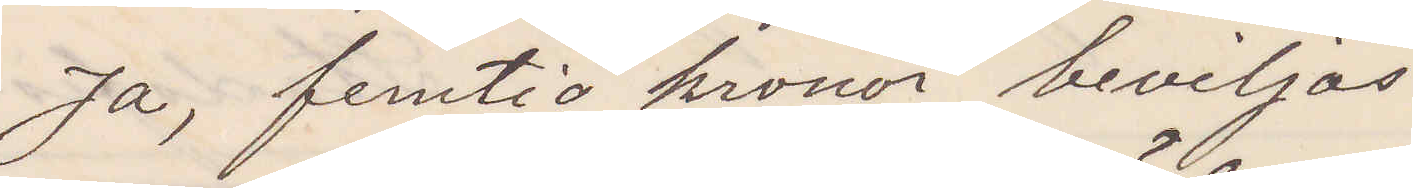Ja, femtio kronor beviljas
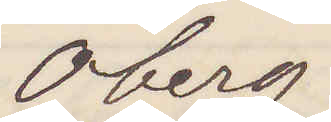Öberg
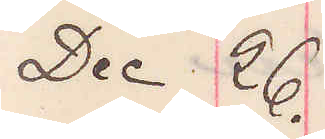Dec 26.
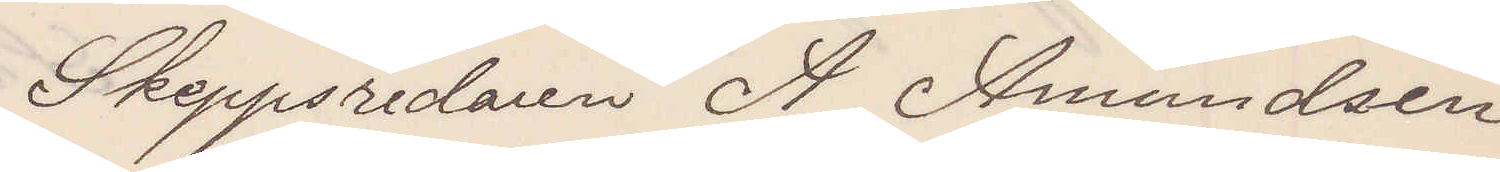Skeppsredaren A Amundsen
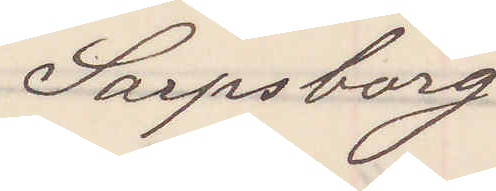Sarpsborg
